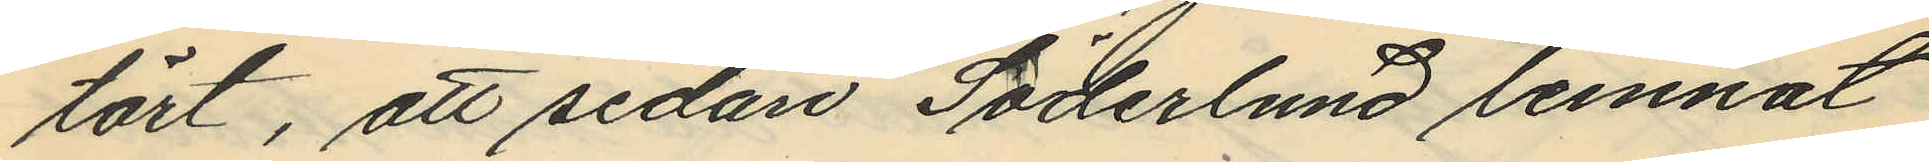tärt, att sedan Söderlund lemnat
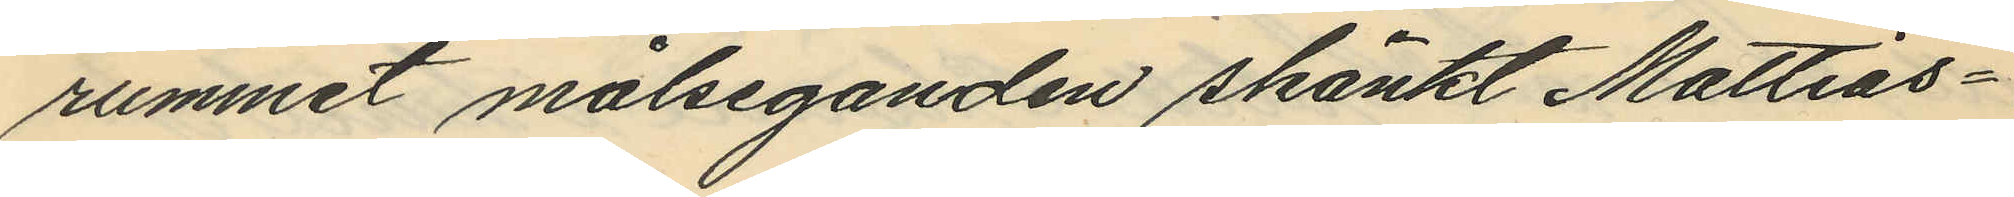rummet målseganden skänkt Mattias¬
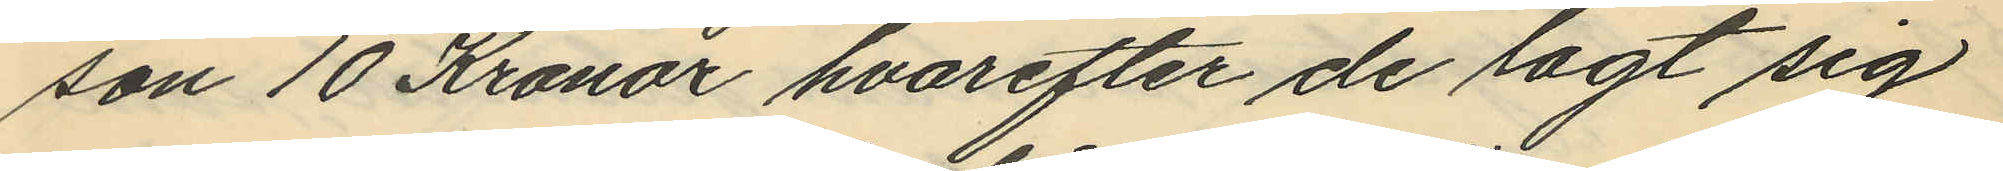son 10 Kronor hvarefter de lagt sig
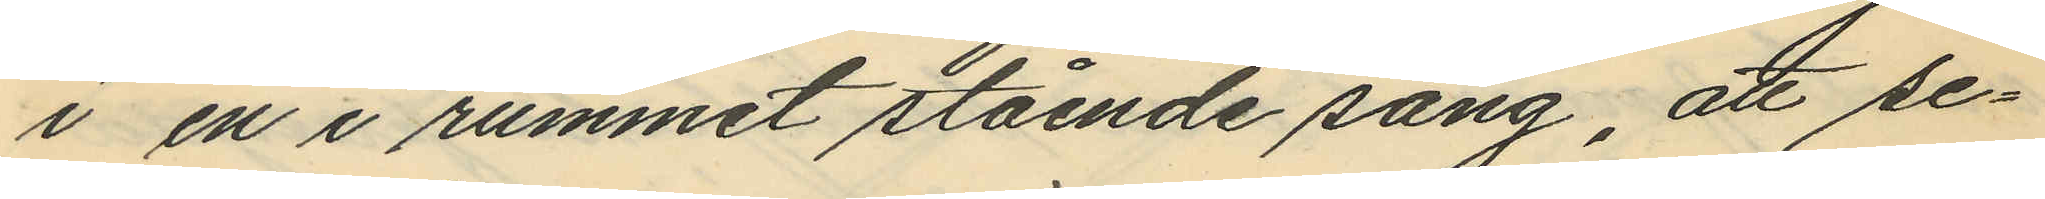i en i rummet stående säng, att se¬
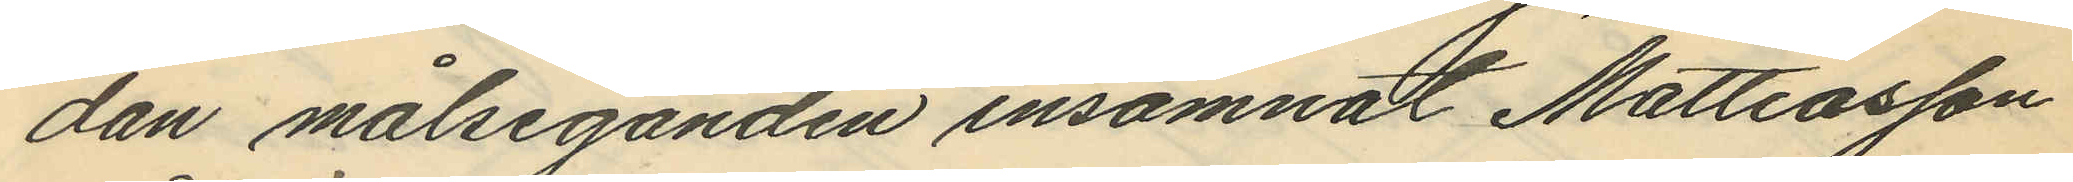dan målseganden insomnat Mattiasson
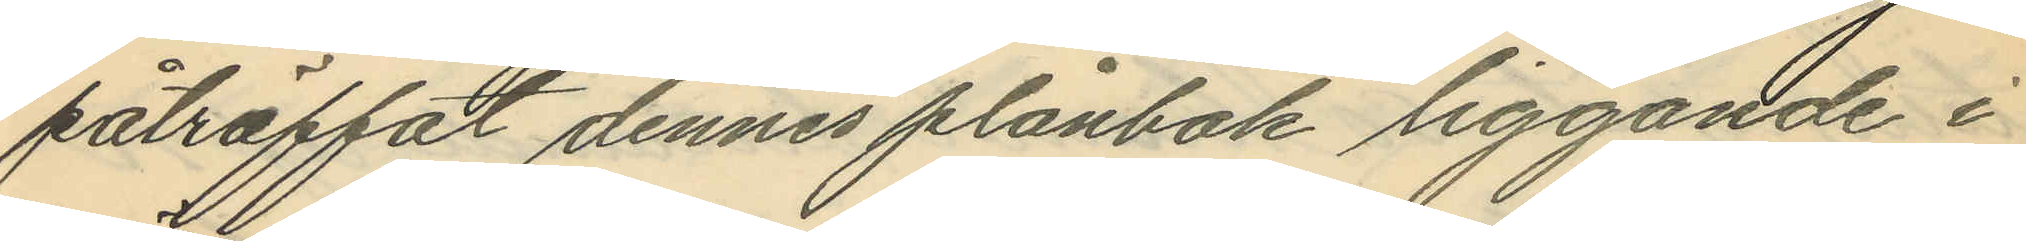påträffat dennes plånbok liggande i
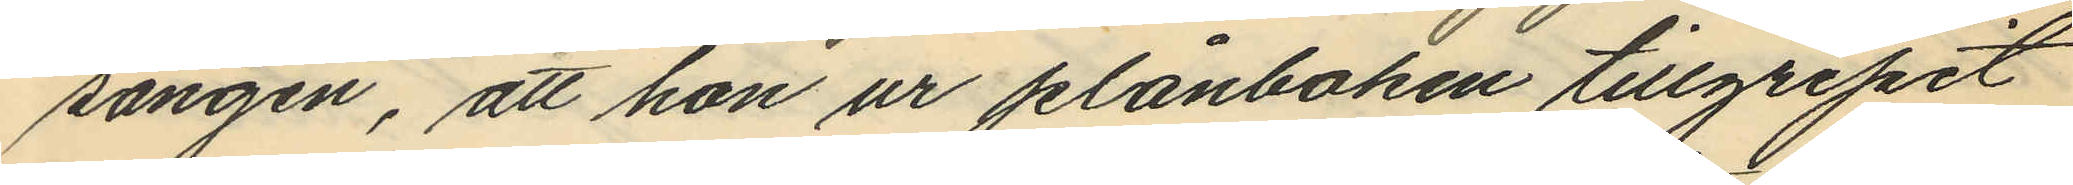sängen, att hon ur plånboken tillgripit
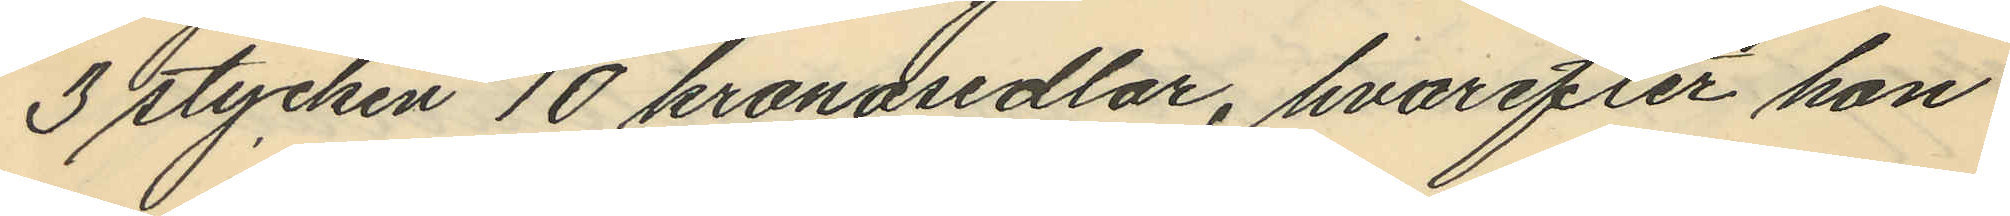3 stycken 10 kronosedlar, hvarefter hon
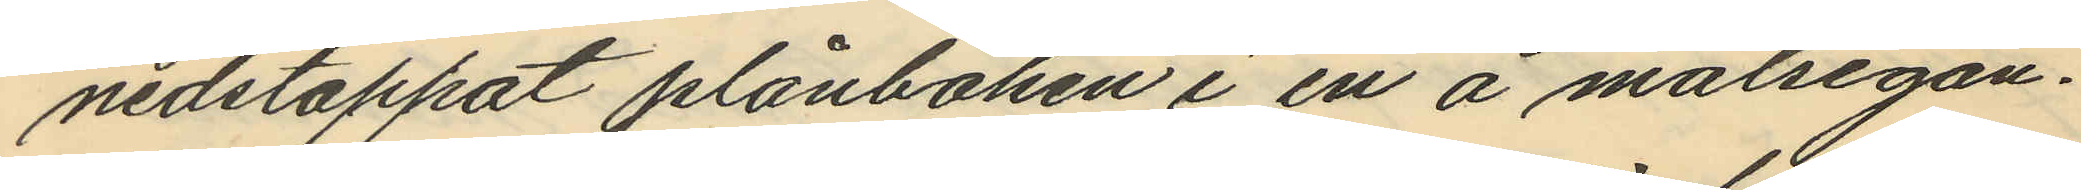nedstoppat plånboken i en å målsegan¬
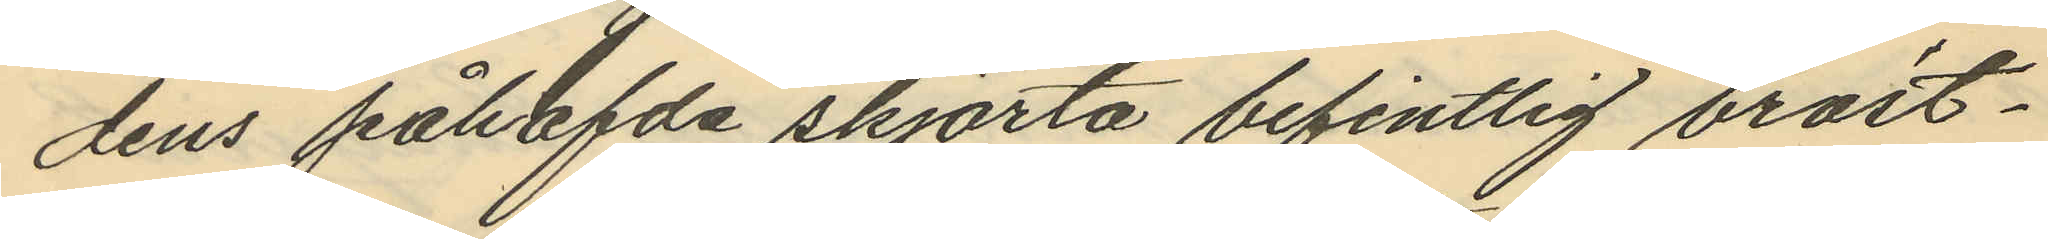dens påhafda skjorta befintlig bröst¬
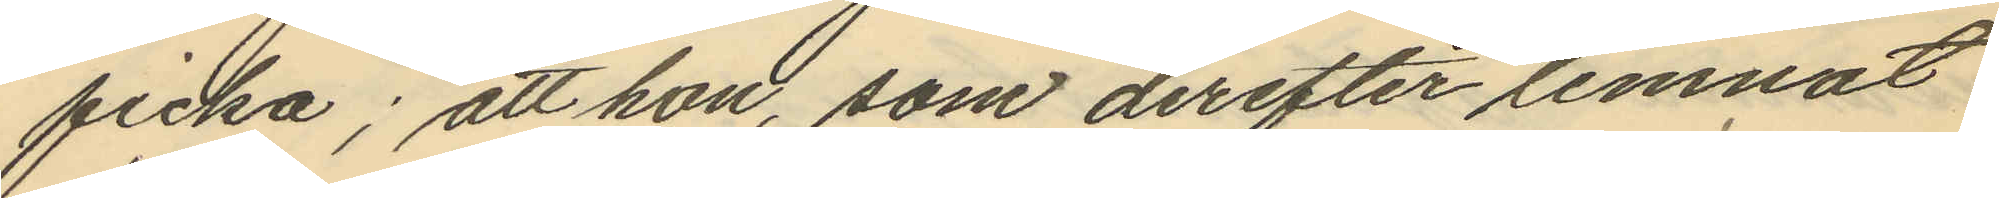ficka; att hon, som derefter lemnat
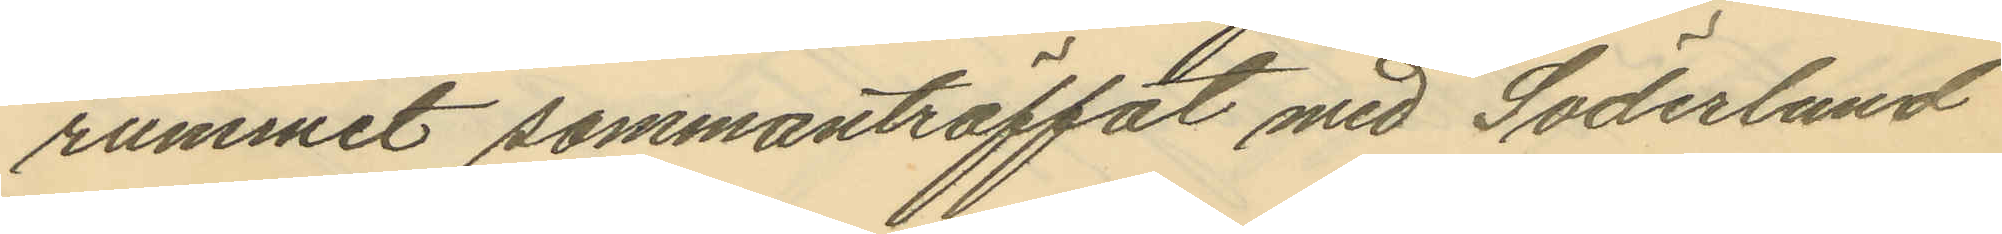rummet sammanträffat med Söderlund
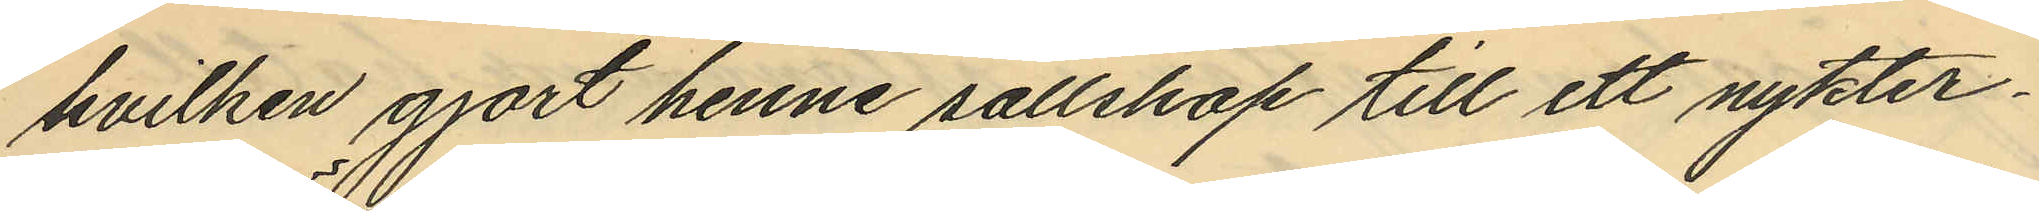hvilken gjort henne sällskap till ett nykter¬
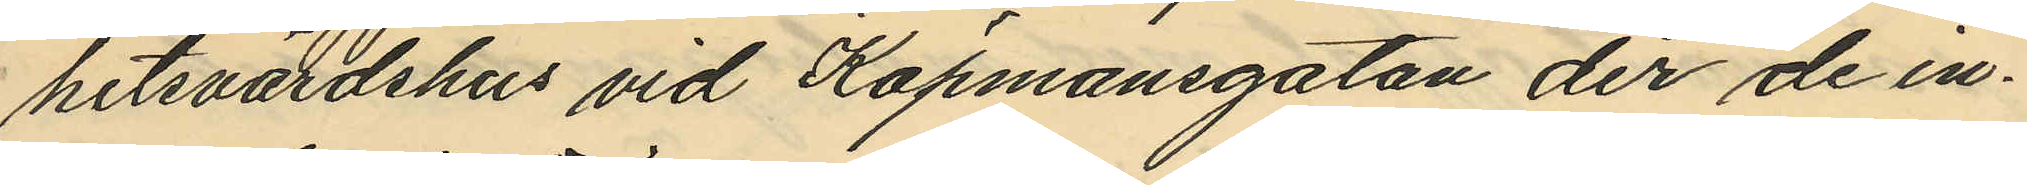hetsvärdshus vid Köpmansgatan der de in¬
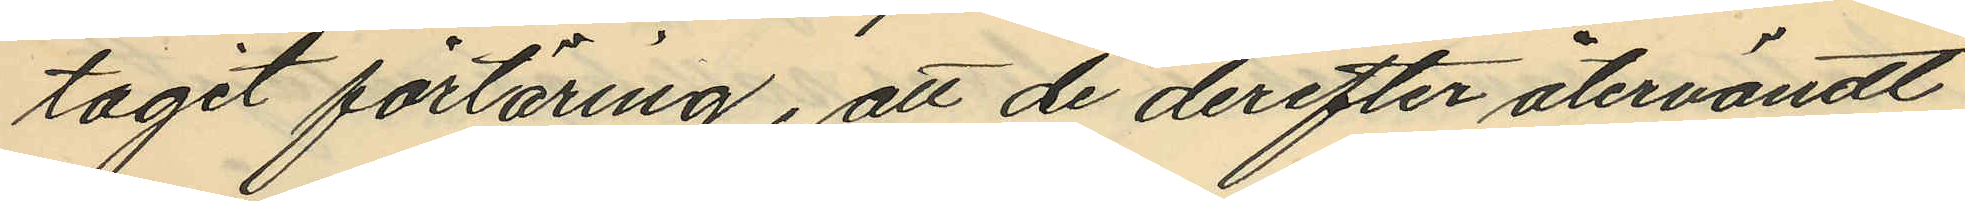tagit förtäring, att de derefter återvändt
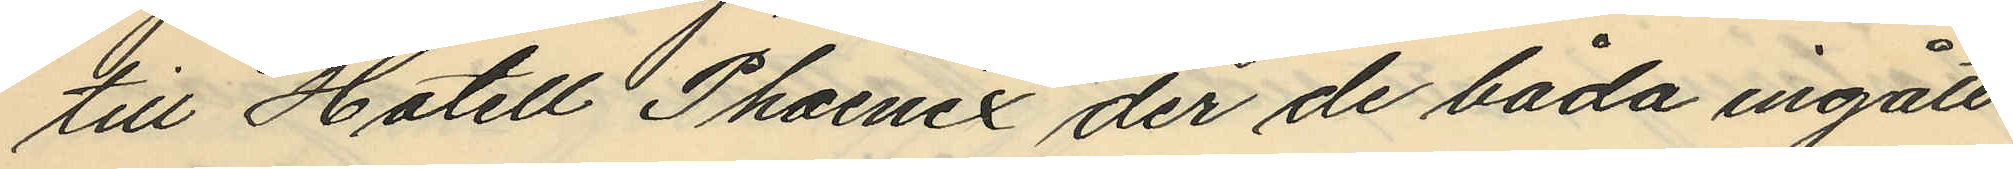till Hotell Phoenix der de båda ingått
